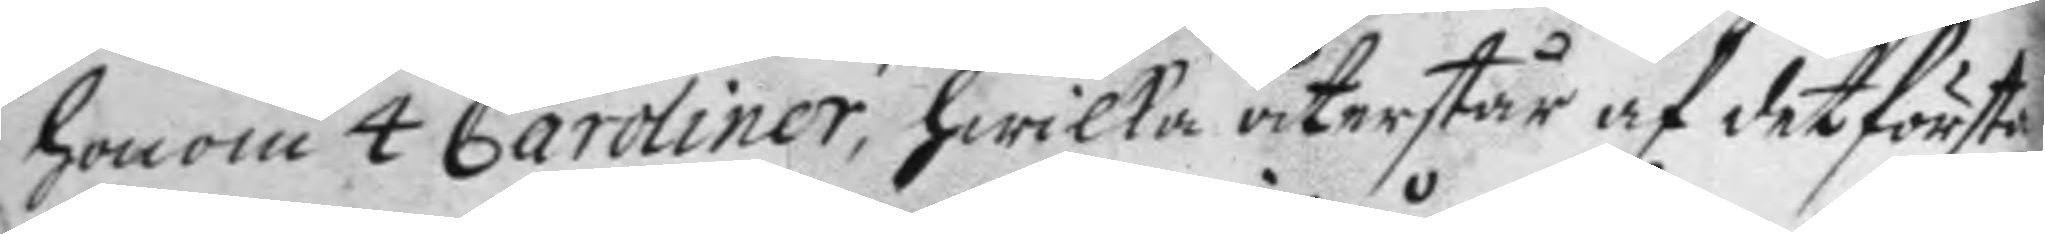honom 4 Caroliner, hwilka återstår af det första
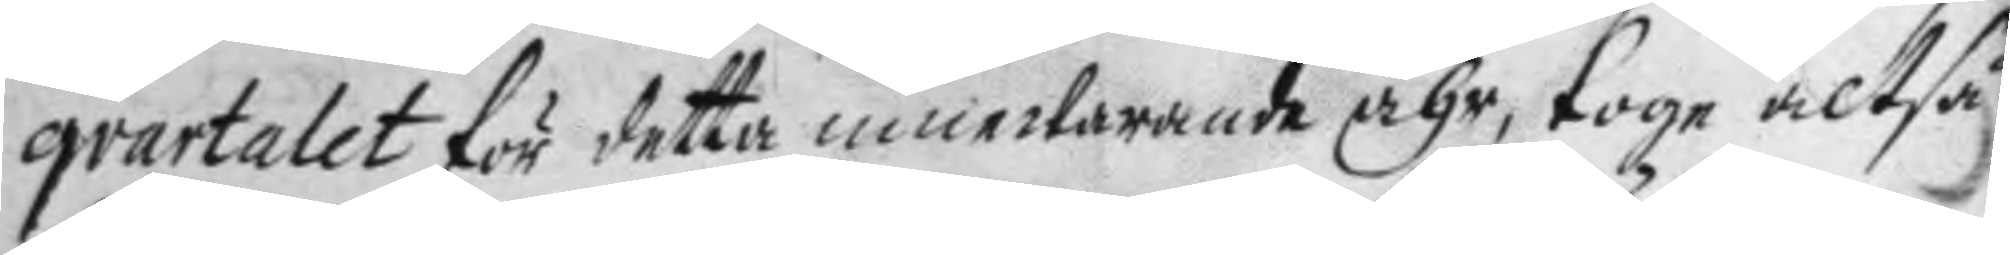qvartalet för detta innewarande åhr, toge altså
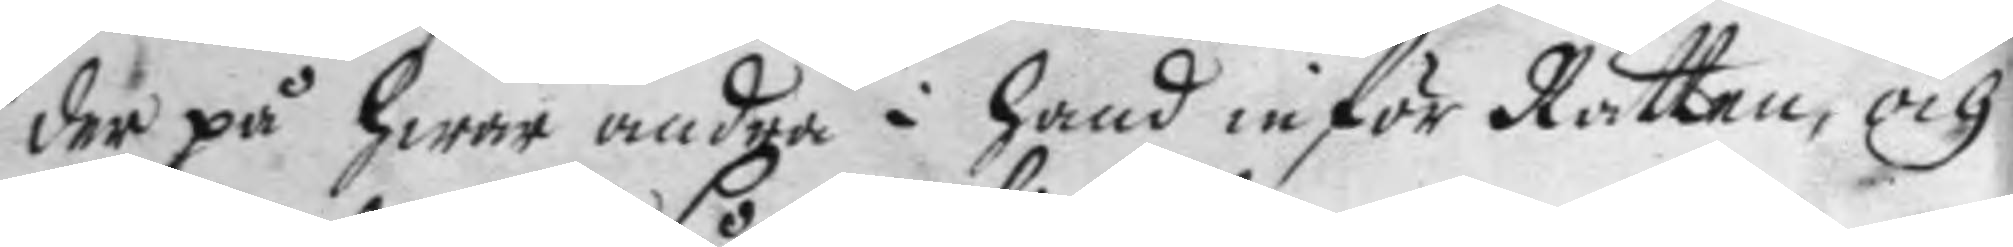der på hwar andra i hand inför Rätten och
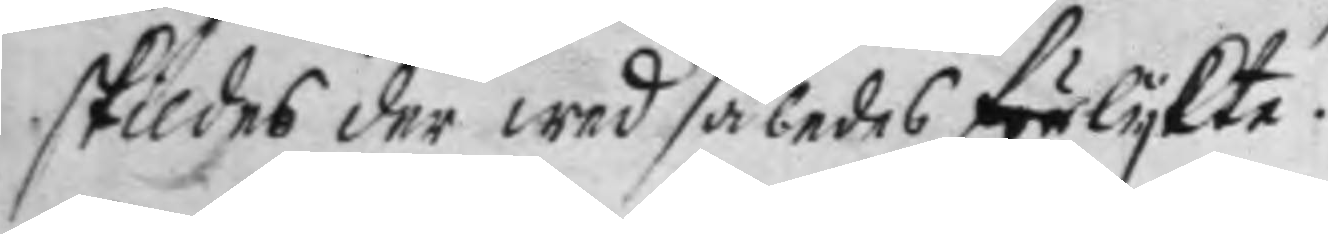skildes der med således förlykte.
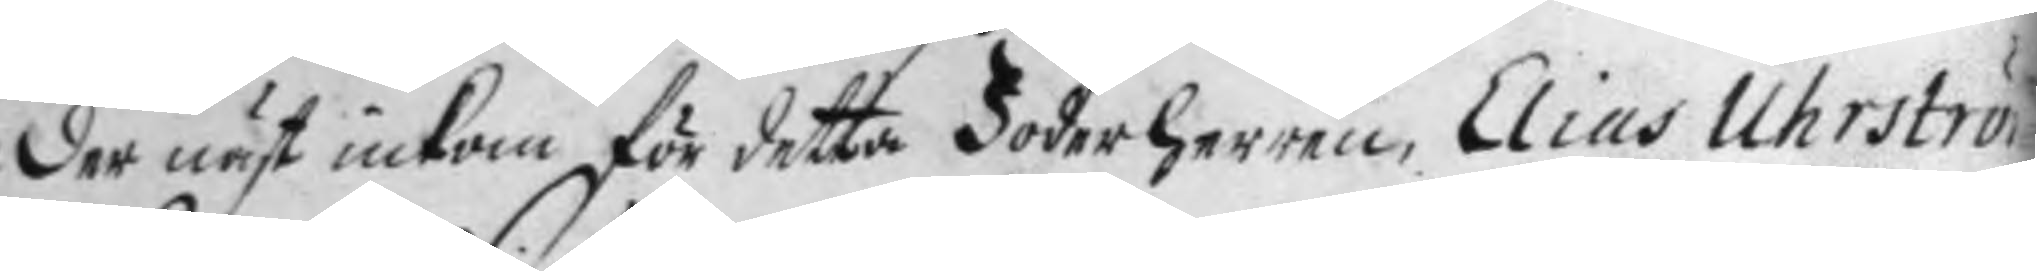der näst inkom för detta Foderherren, Elias Uhrström
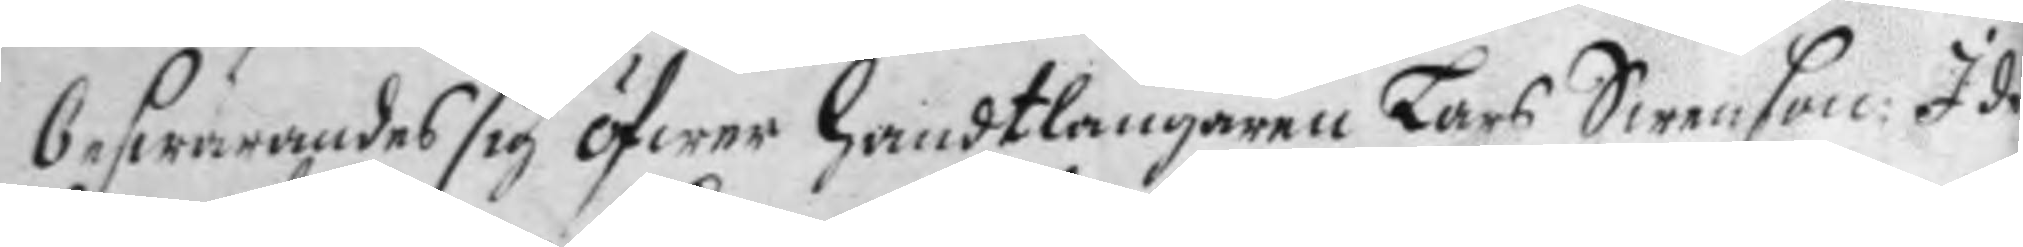beswärandes sig öfwer handtlangaren Lars Swenson I de
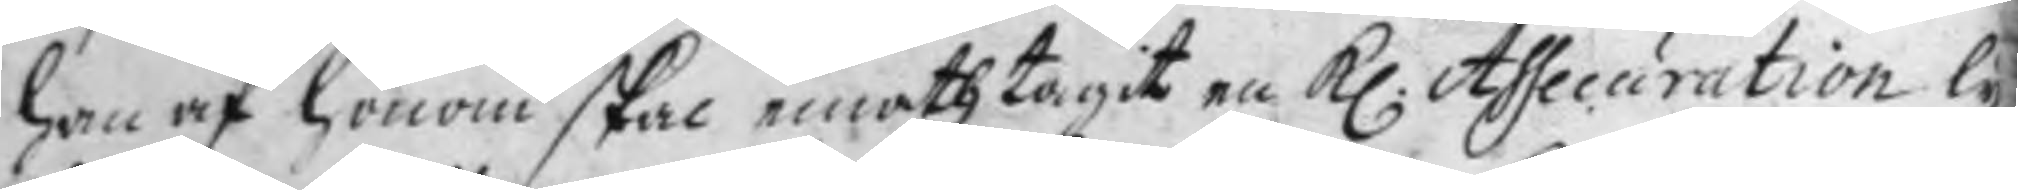han af honom skal emothtagit en H. Assecuration ly¬
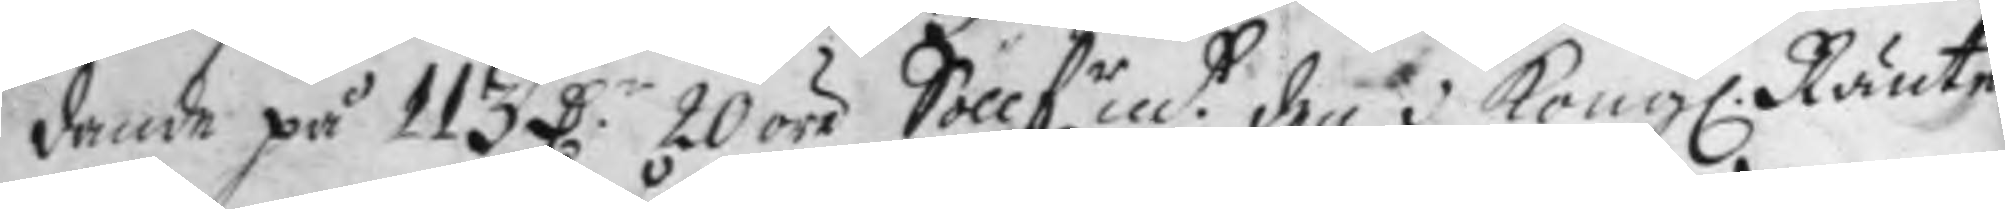dande på 113 D.r 20 öre Söllf.rmt den i Kong. Ränte¬
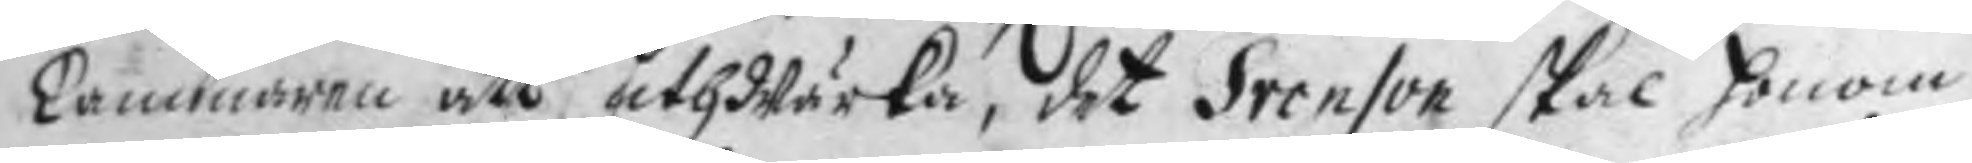kammaren att uthWärka, det Svenson skal honom
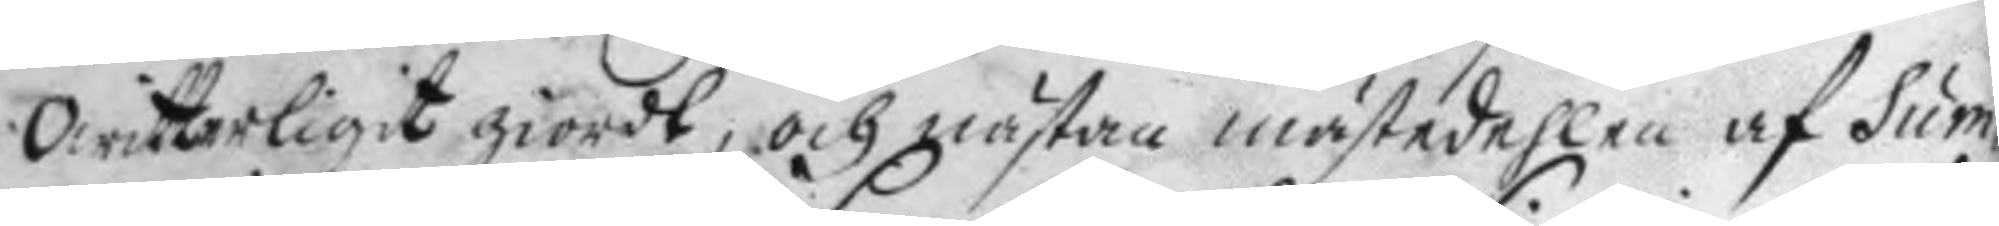Owitterligit giordt, och nästan mästadehlen af sum¬
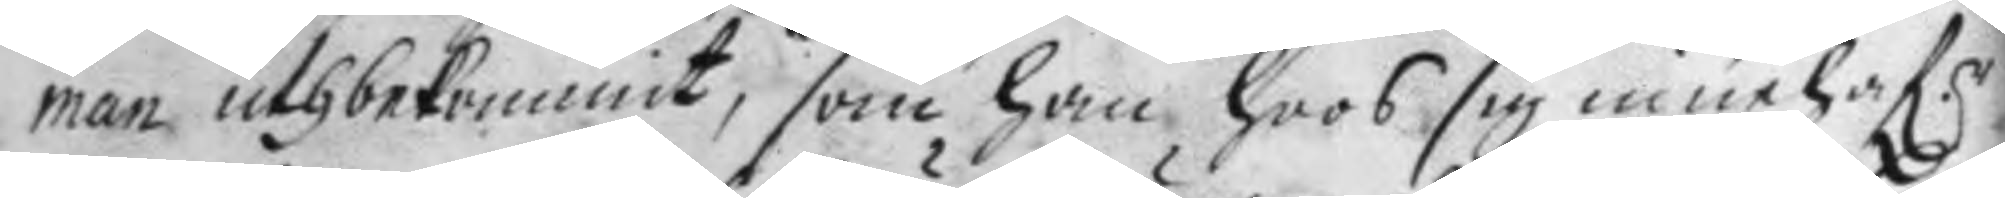man uthbekommit, som han hoos sig innehaf.r
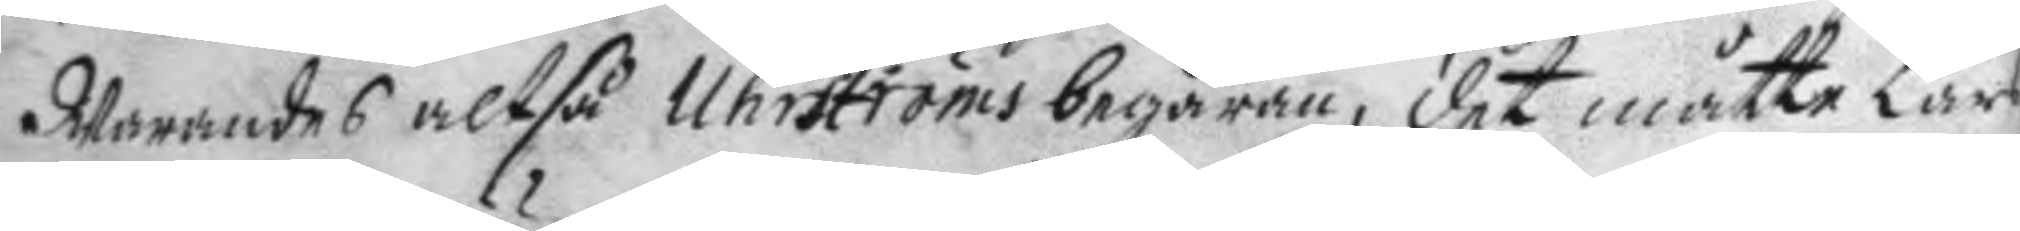Warandes altså Uhrströms begäran, det måtte Lars
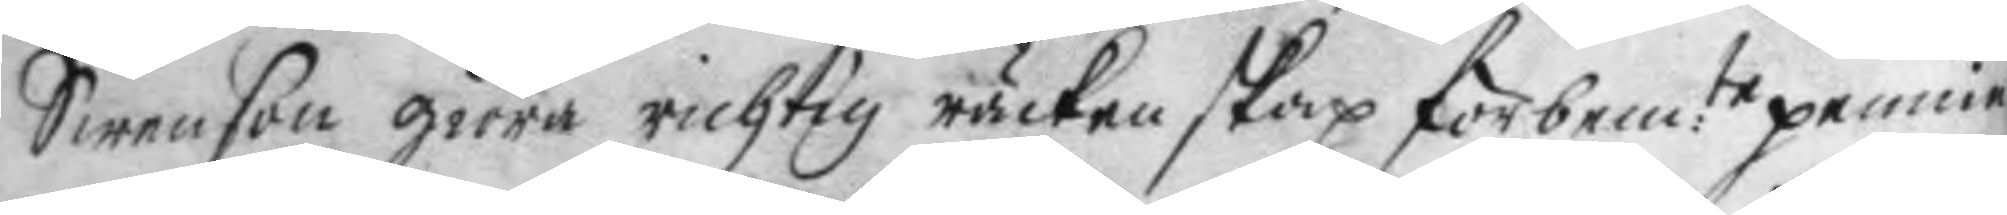Swenson giöra richtig räckenskap för bem:te pennin¬
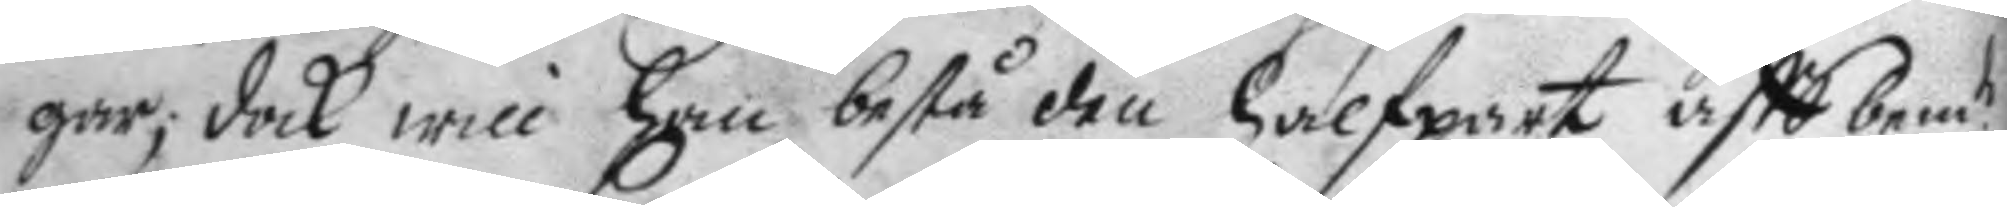gar; dock will han bestå den halfpart aff bem.te
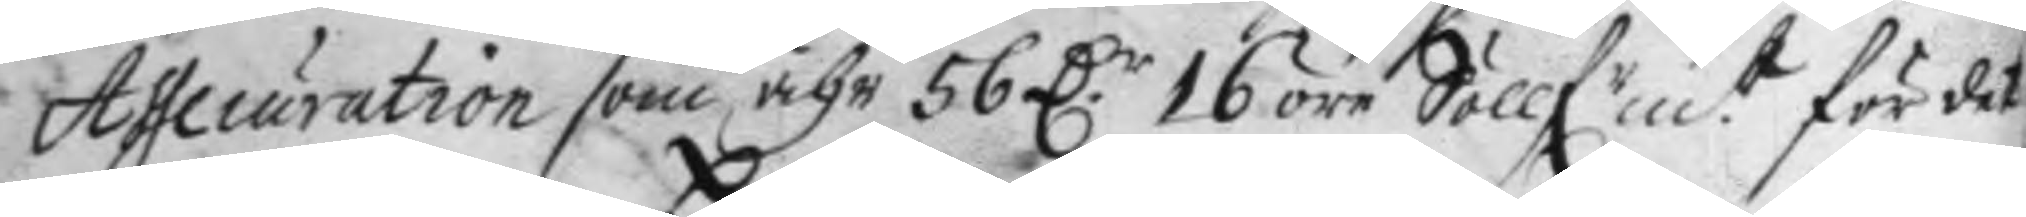Assecuration som ähr 56 D.r 16 öre Söllfrmt för det
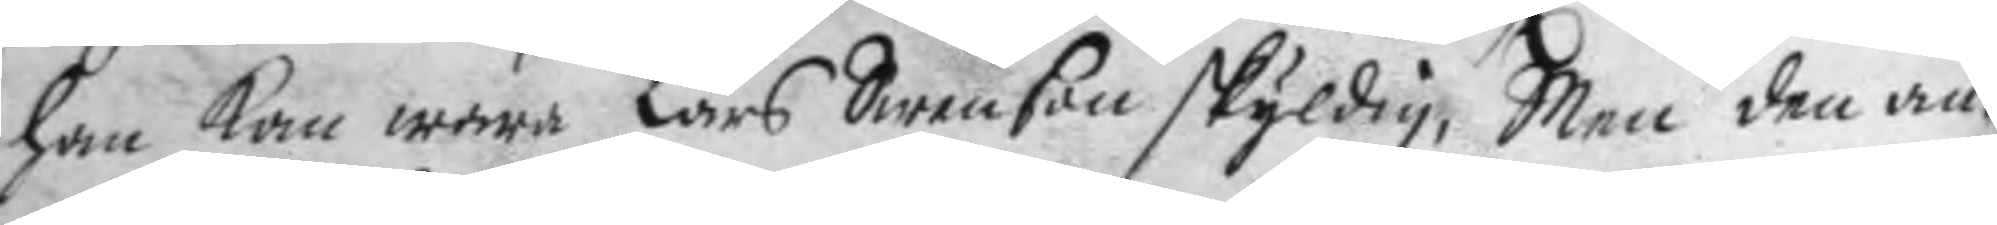han kan wara Lars Swenson skyldig, Men den an¬
